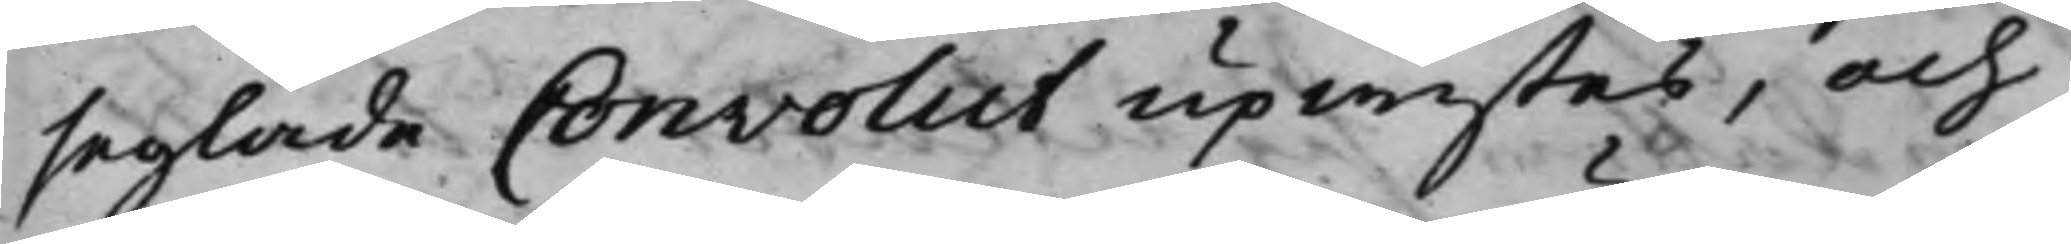seglade Convolut upwistes, och
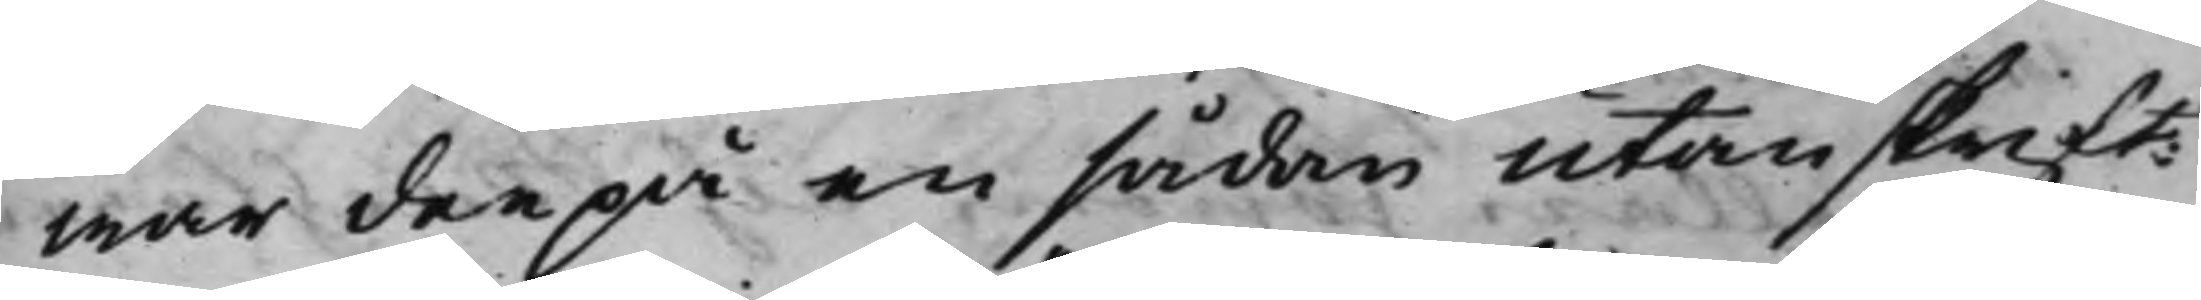war derpå en sådan utanskrift:
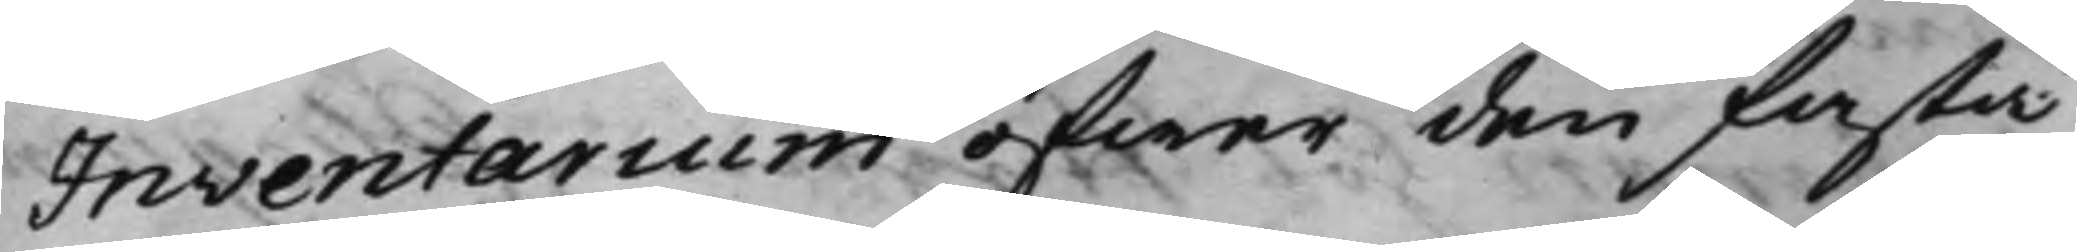Inventarium öfwer den fasta
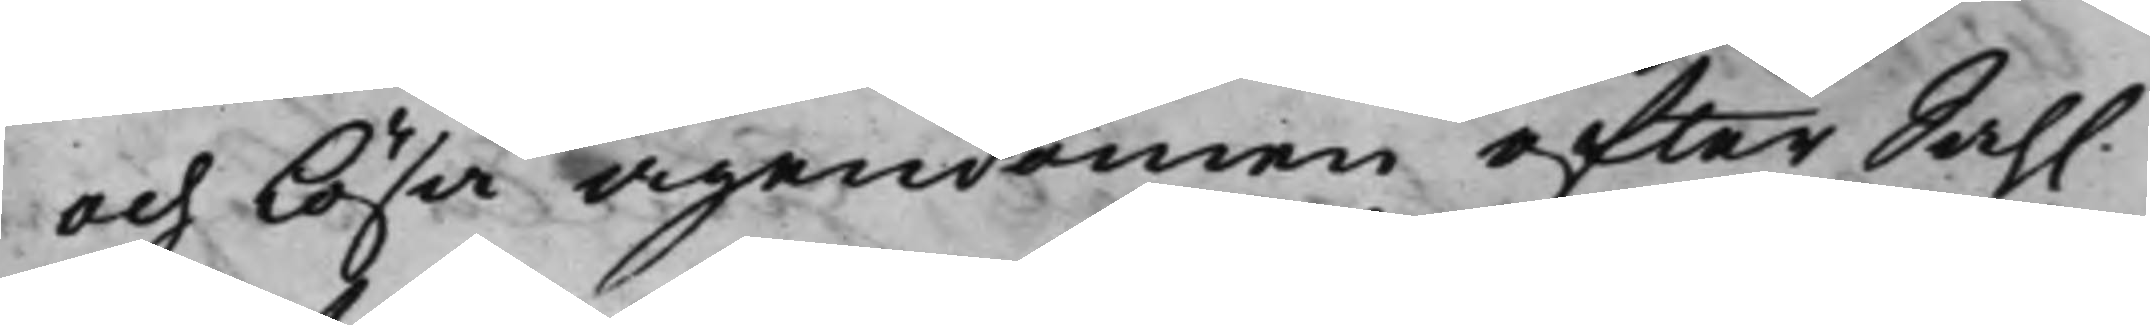och lösa ägendomen efter Sah.
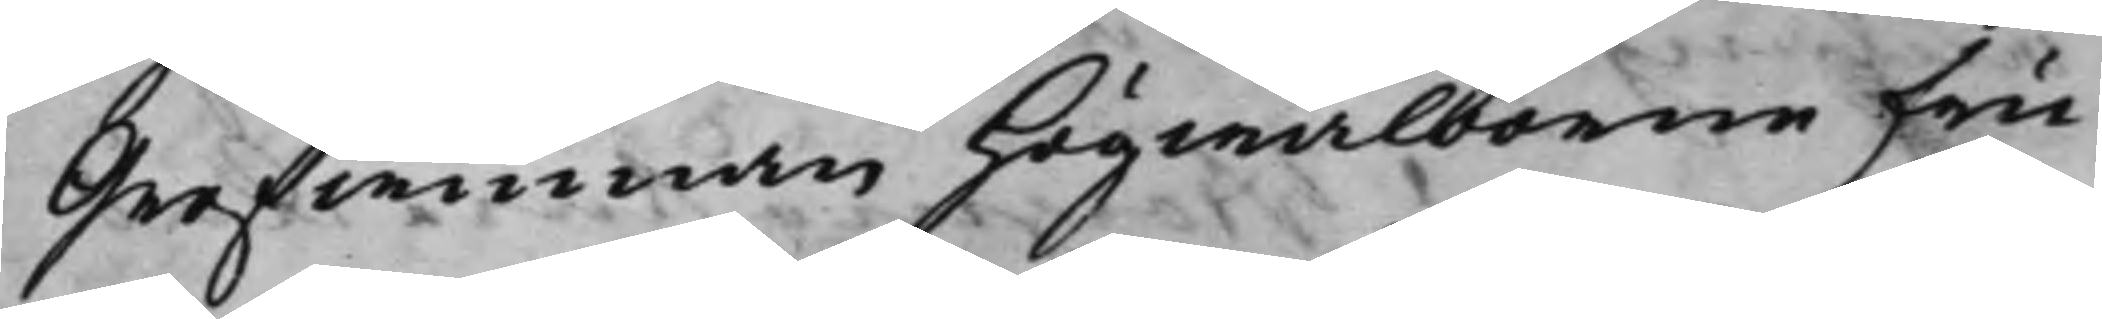Grefwinnan Högwälborne Fru
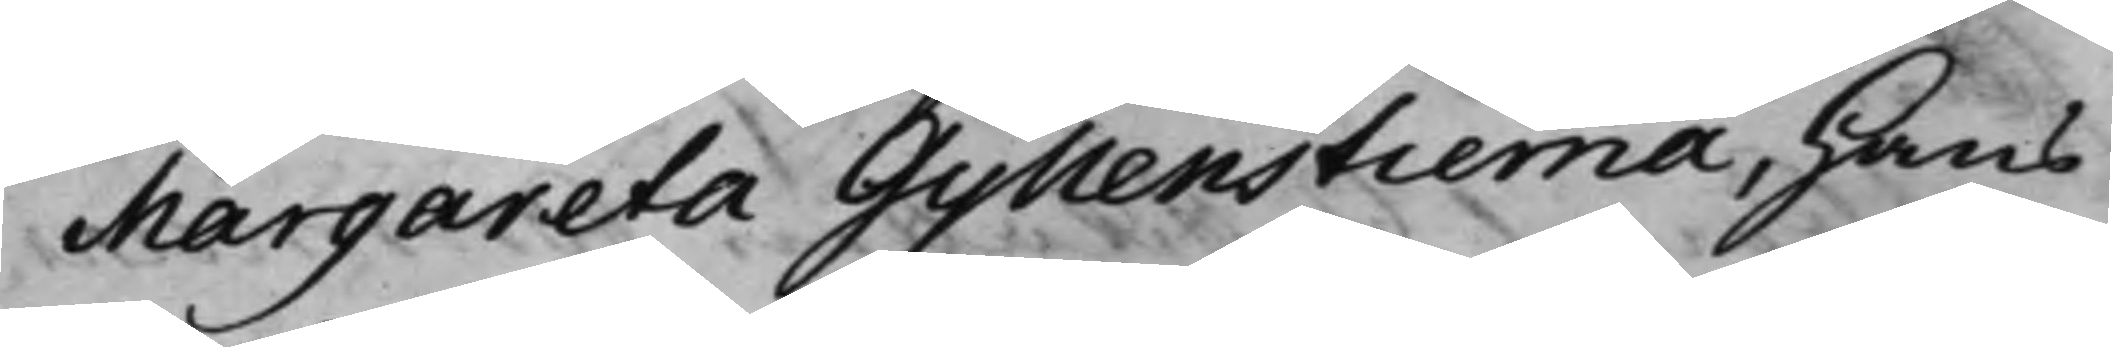Margareta Gyllenstierna, Hans
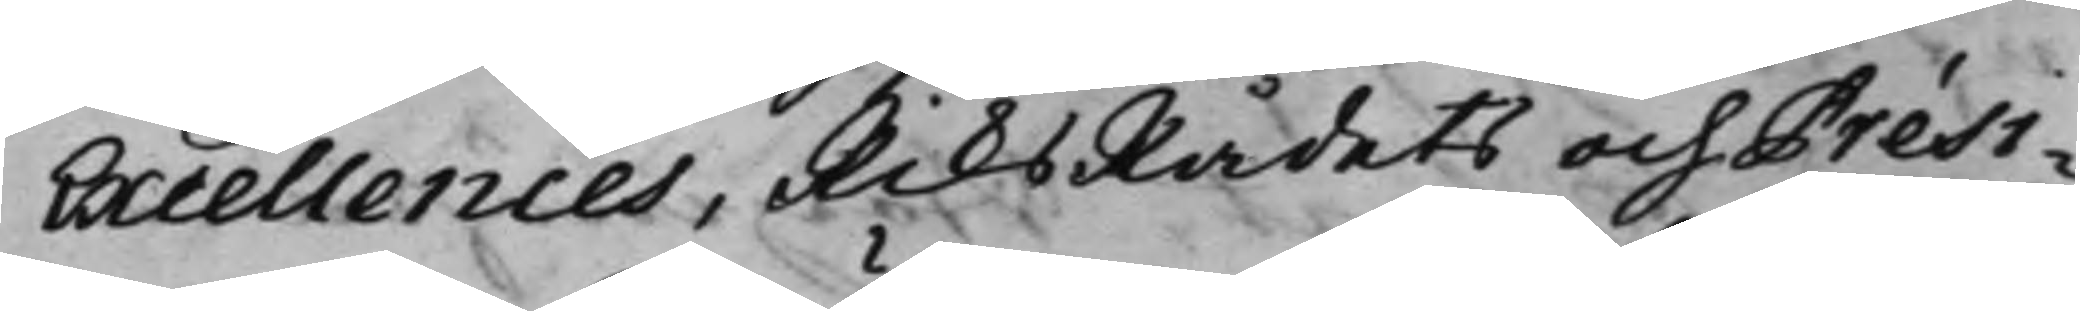Excellences, RiksRådets och Prési¬
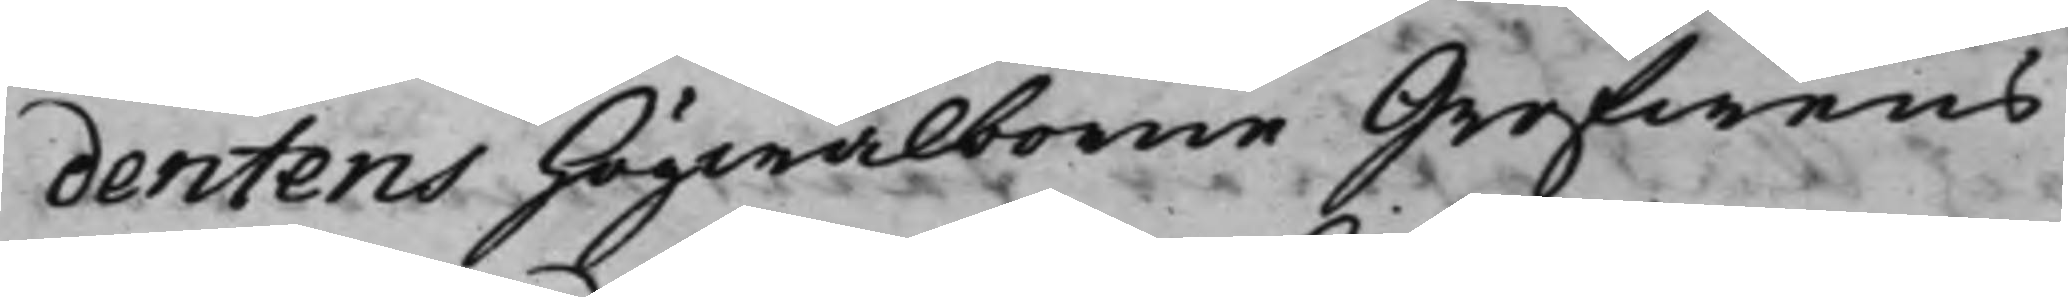dentens Högwälborne Grefwens
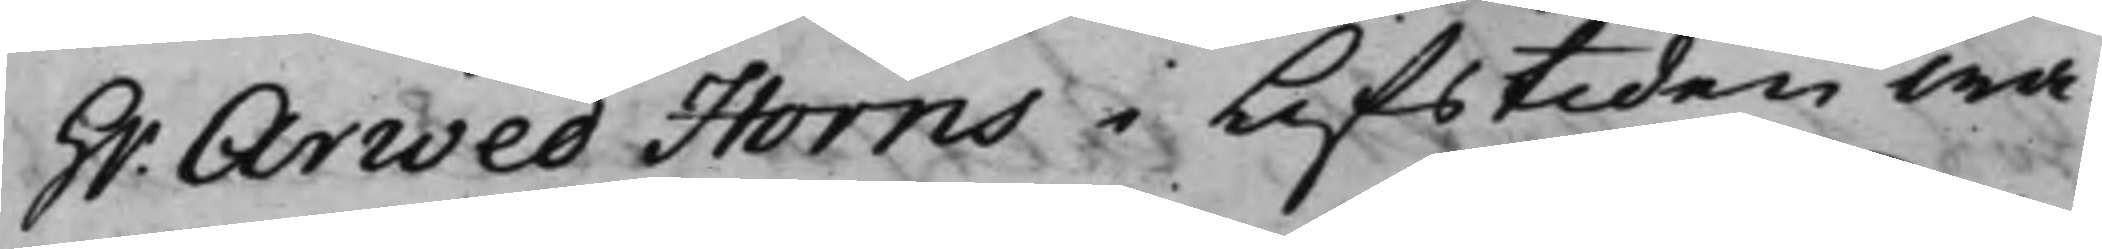H.r Arwed Horns i Lifstiden wa¬
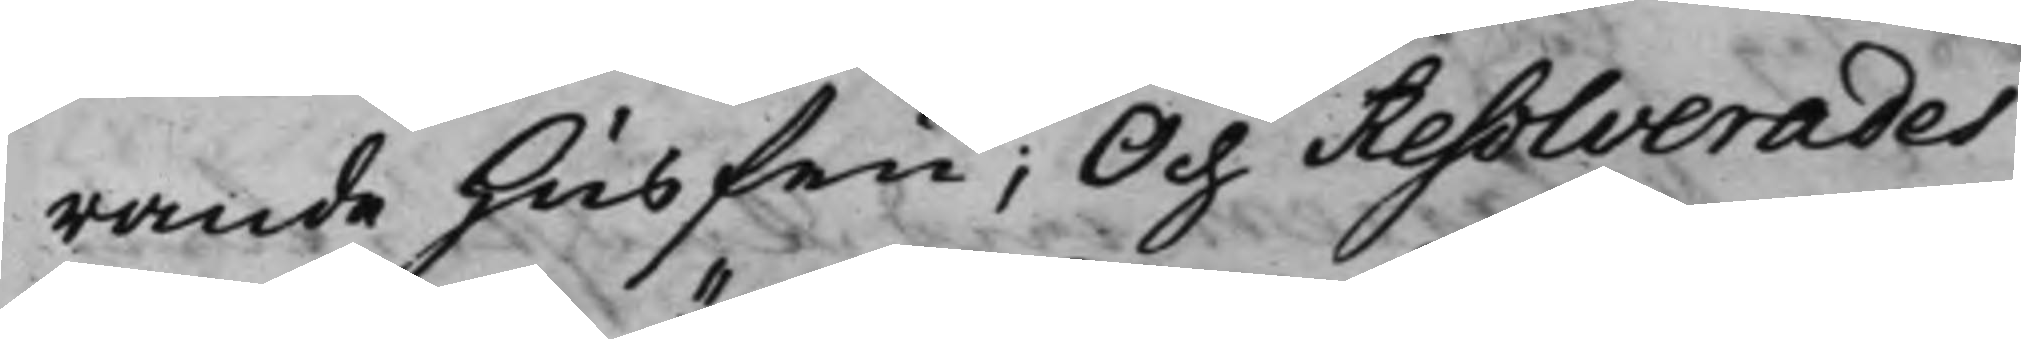rande husfru; Och Resolverades
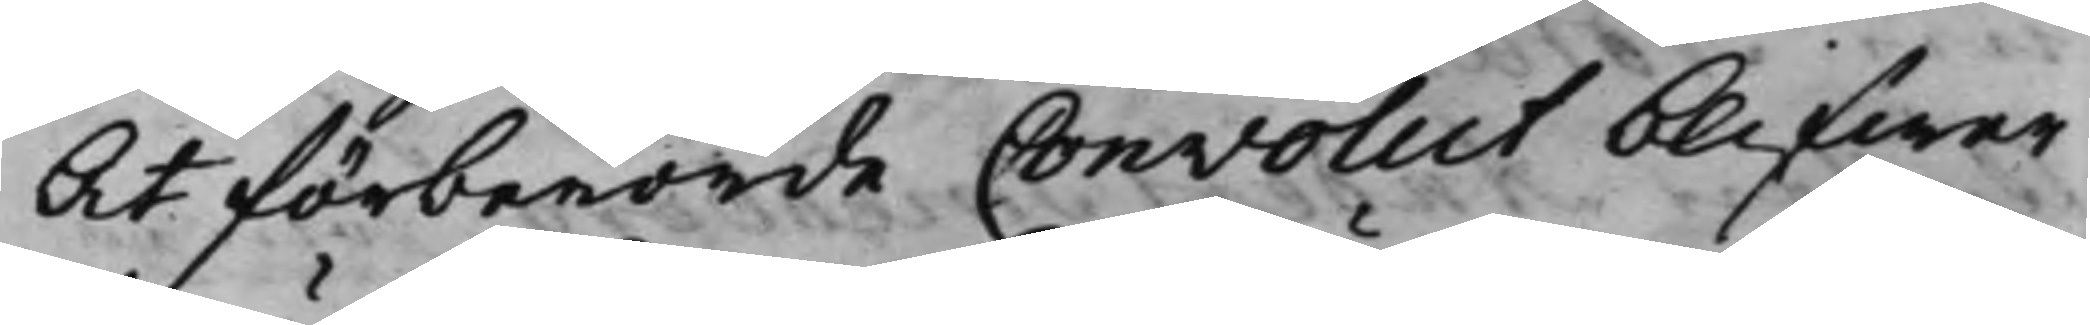At förberörde Convolut blifwer
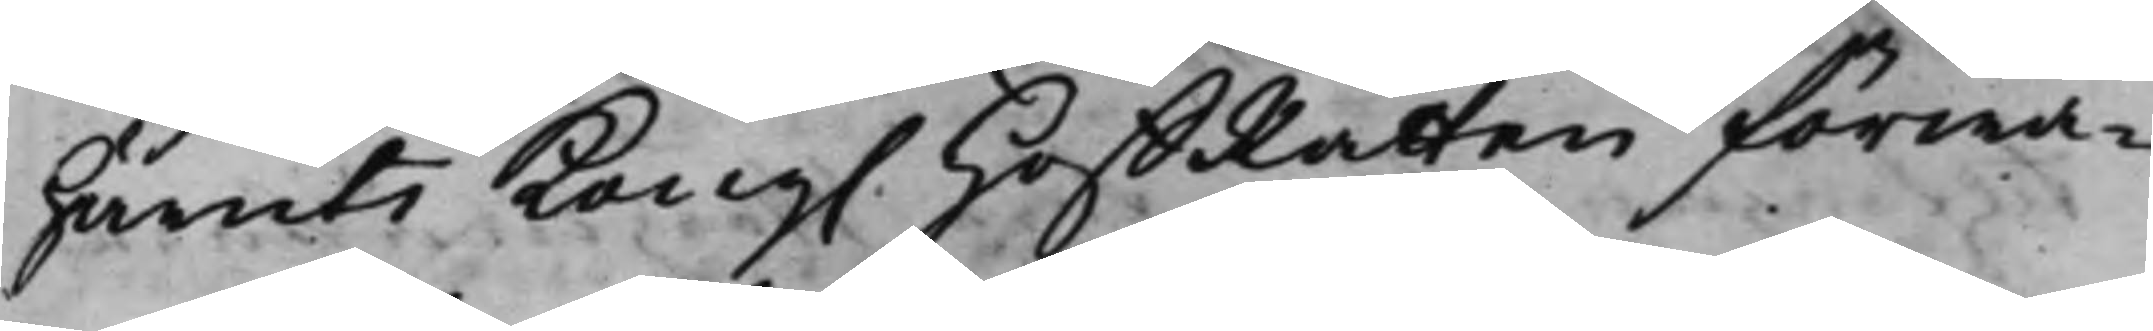häruti Kong. HoffRätten förwa¬
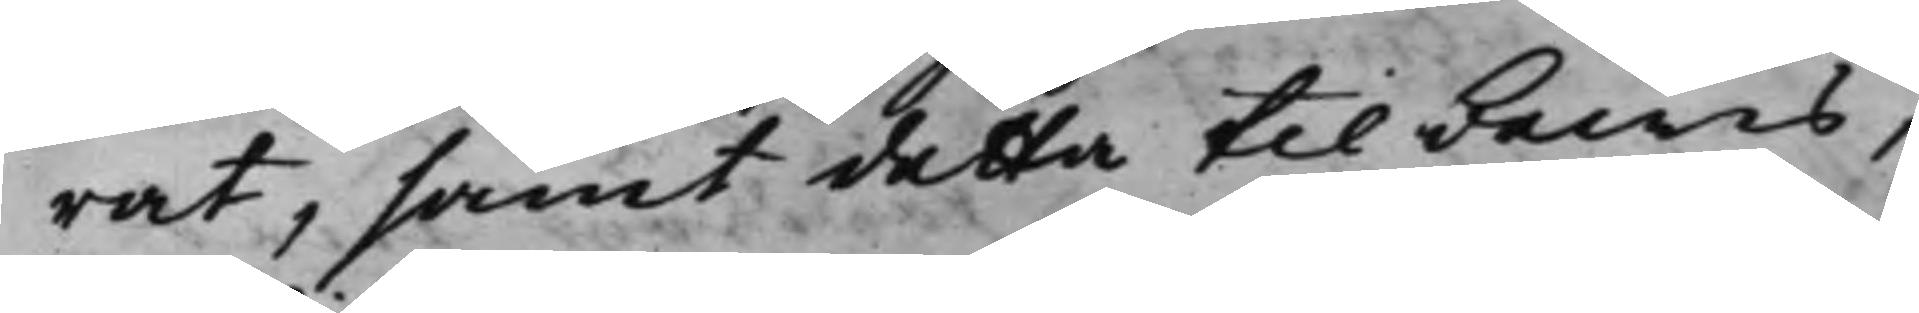rat, samt detta till bewis,
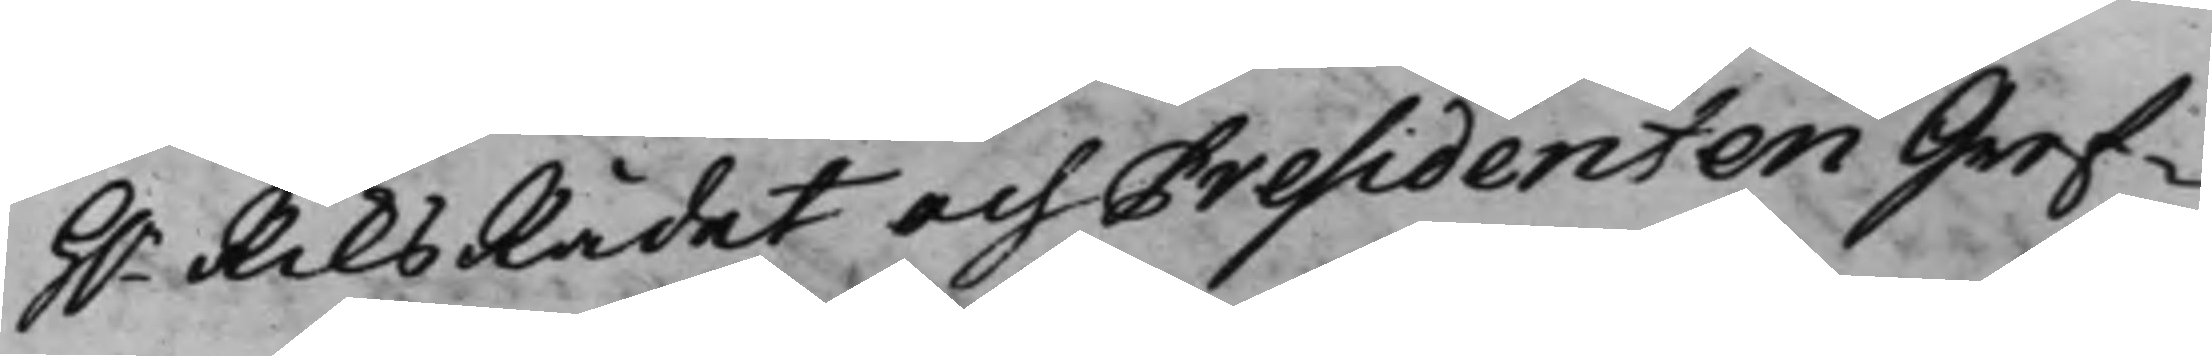H.r RiksRådet och Presidenten Gref¬
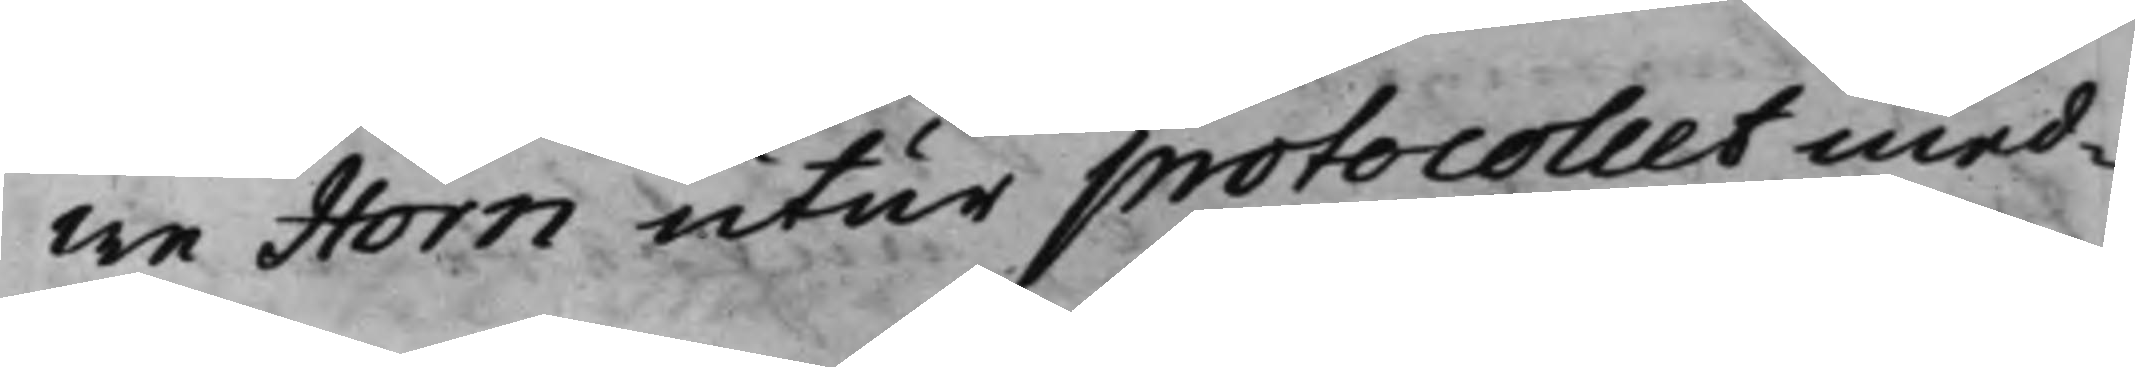we Horn utur protocollet med¬
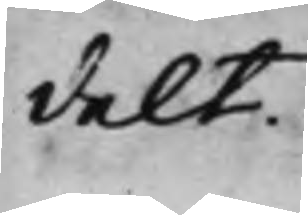delt.
